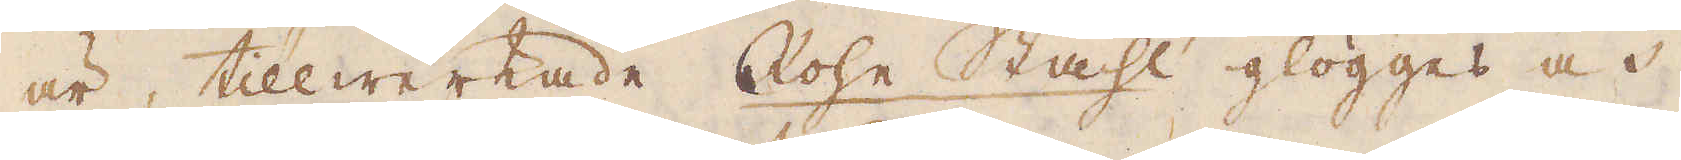är, tillwerkade Rohe Stahl glögges och
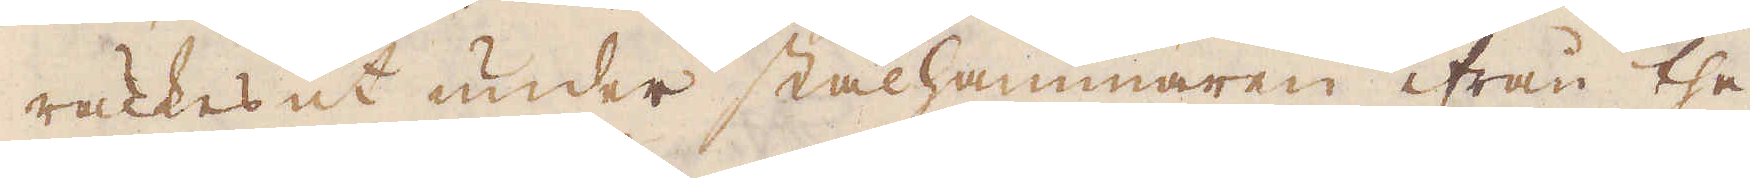räckes ut under stålhammaren ifrån the
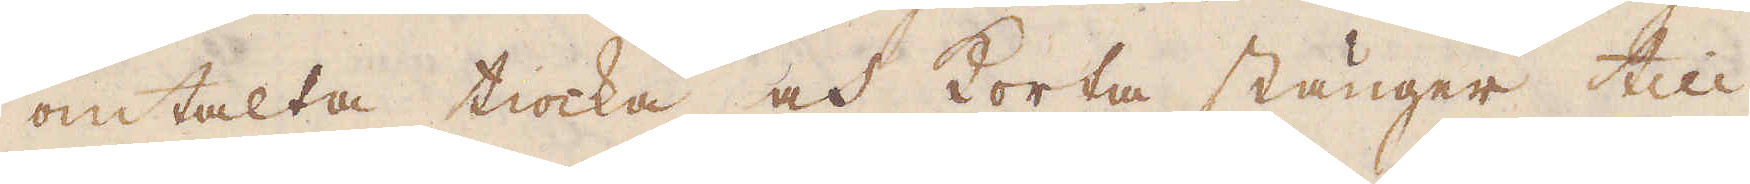omtalta tiocka och korta stänger till
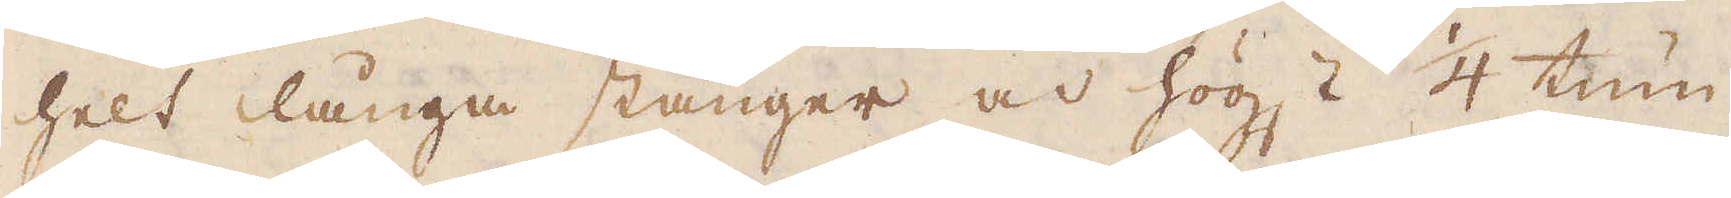helt långa stänger och högst 1/4 tum
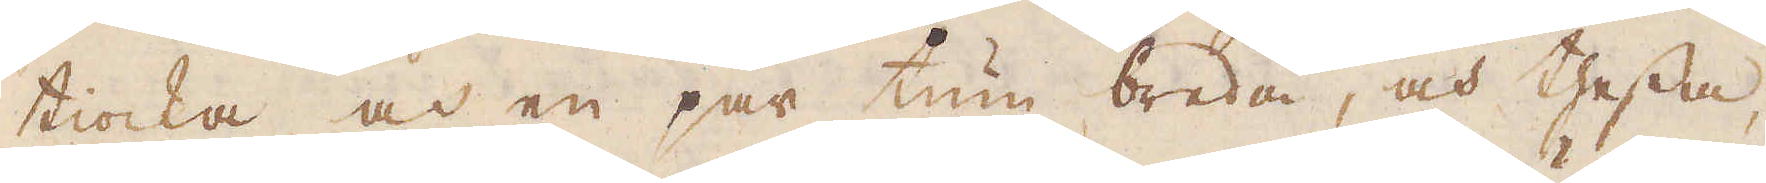tiocka och en par tum breda, och thessa
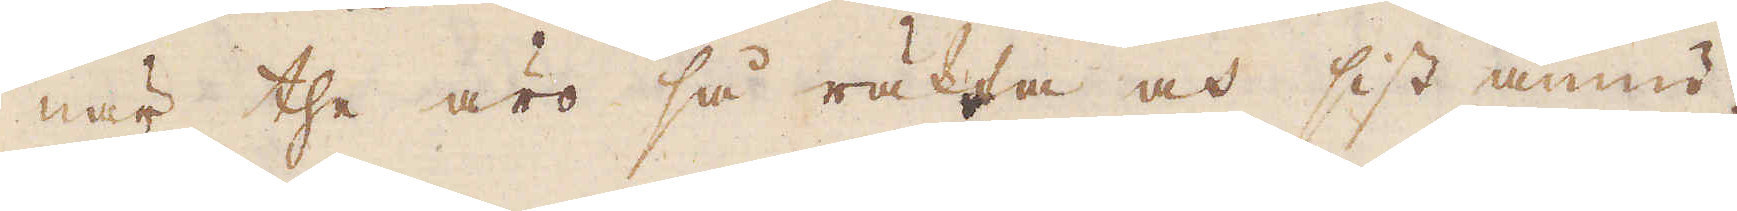när the äro så räkta och sist ännu
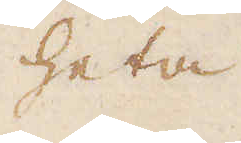heta
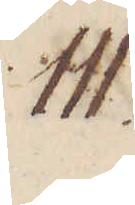111.
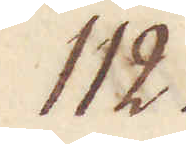112.
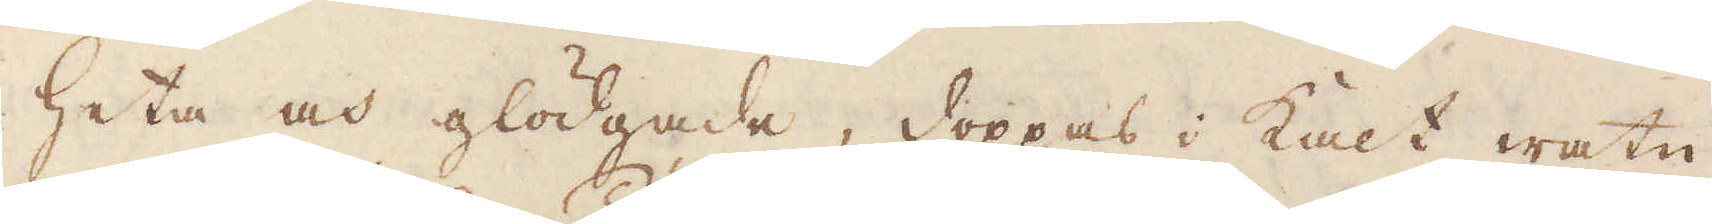heta och glödgade, doppas i kalt watn
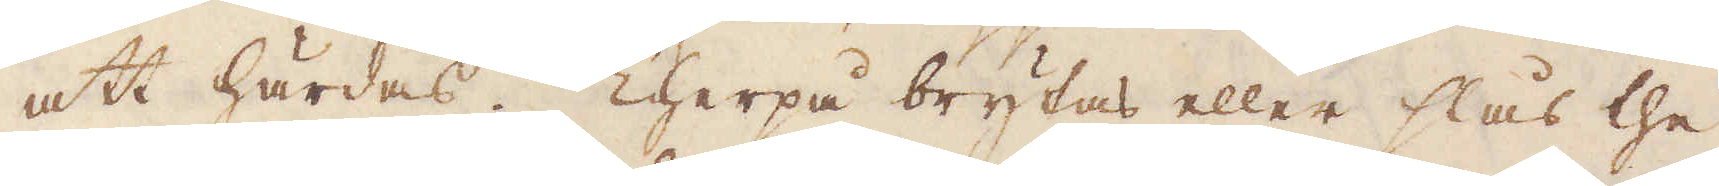att härdas. Therpå brytas eller slås the
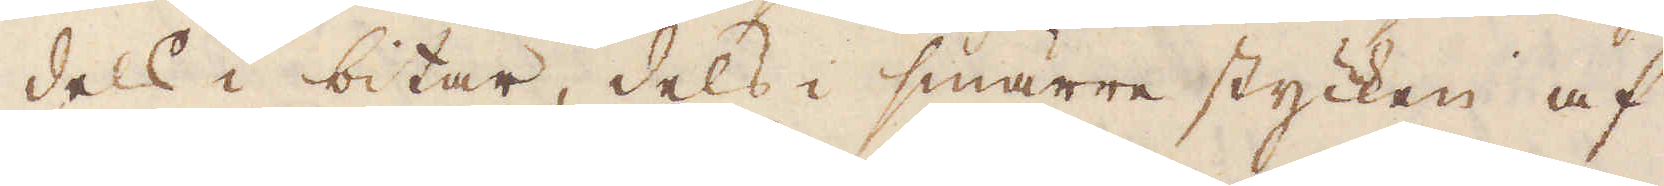dels i bitar, dels i smärre stycken af
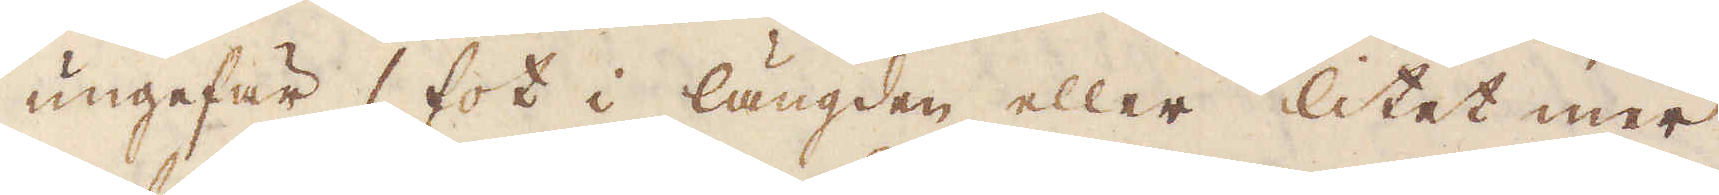ungefär 1 fot i längden eller litet mer.
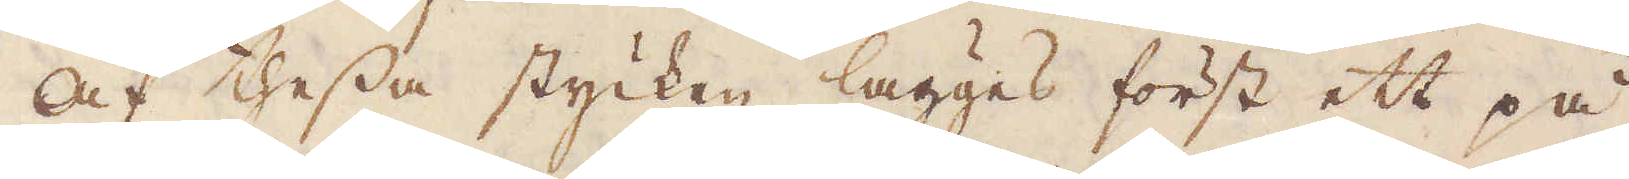Af thessa stycken lägges först ett på
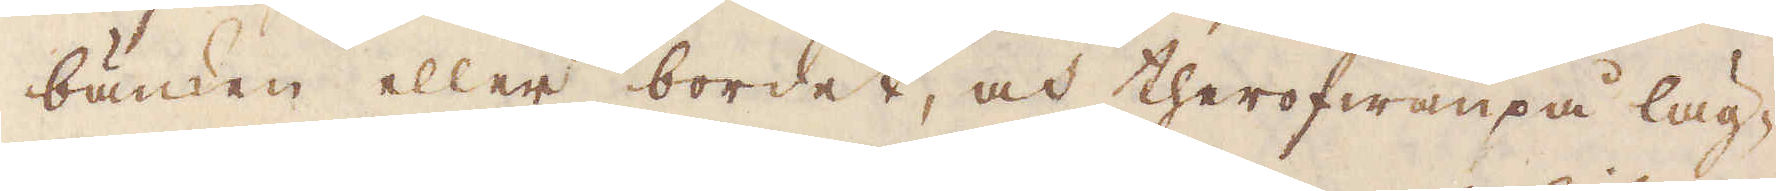bänken eller bordet, och therofwanpå läg-
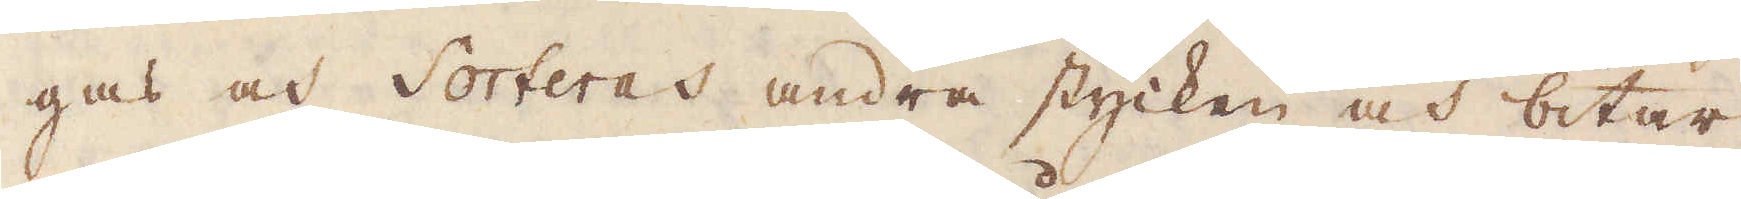gas och Sorteras andra stycken och bitar,
